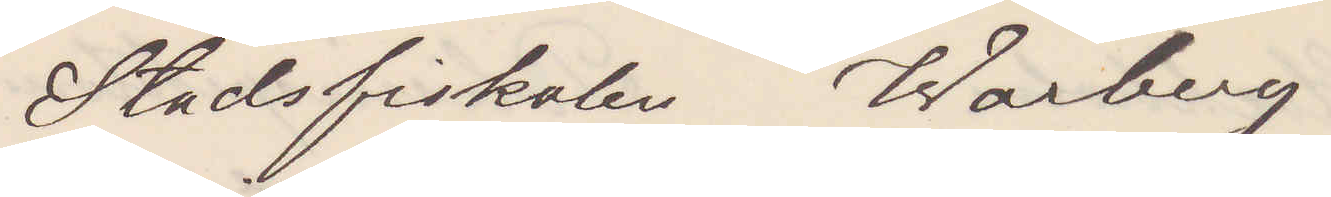Stadsfiskalen Warberg
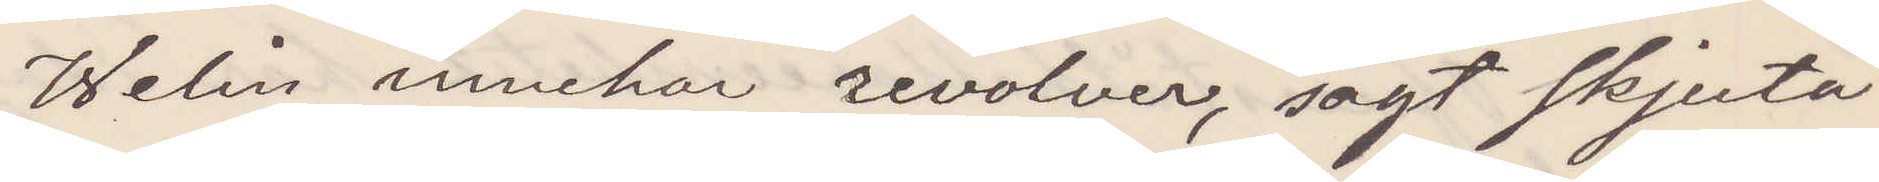Welin innehar revolver sagt skjuta
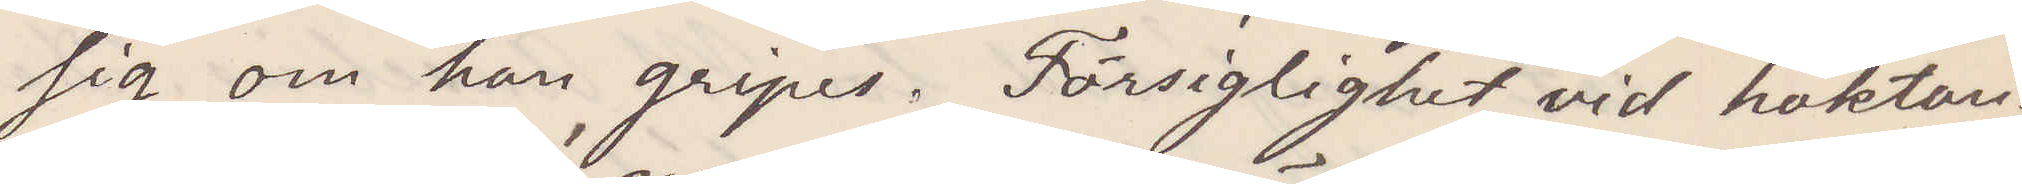sig om han gripes. Försigtighet vid häktan¬
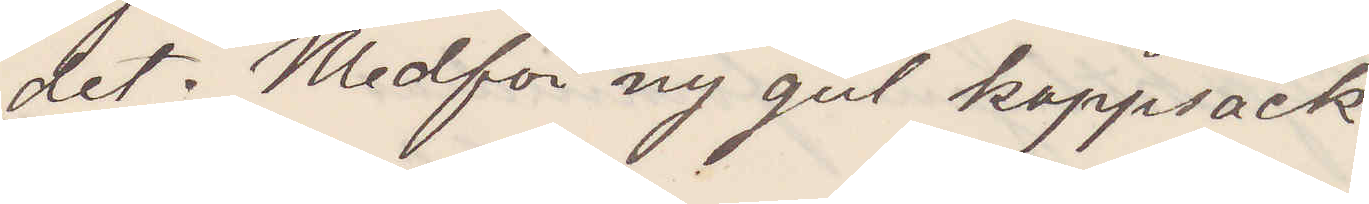det. Medför ny gul kappsäck
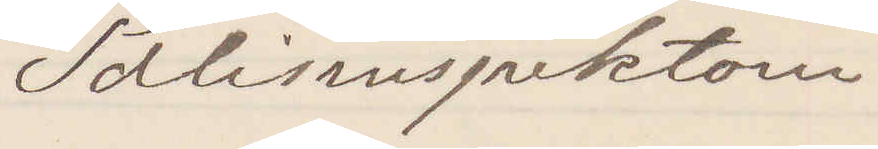Polisinspektorn
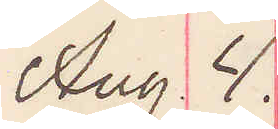Aug 4.
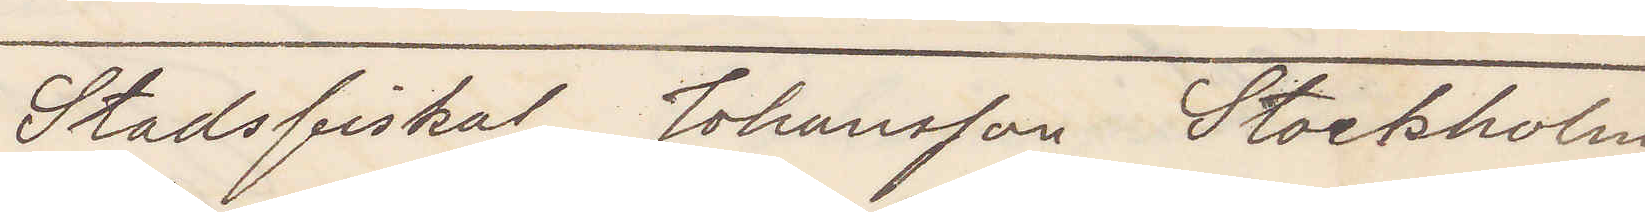Stadsfiskal Johansson Stockholm
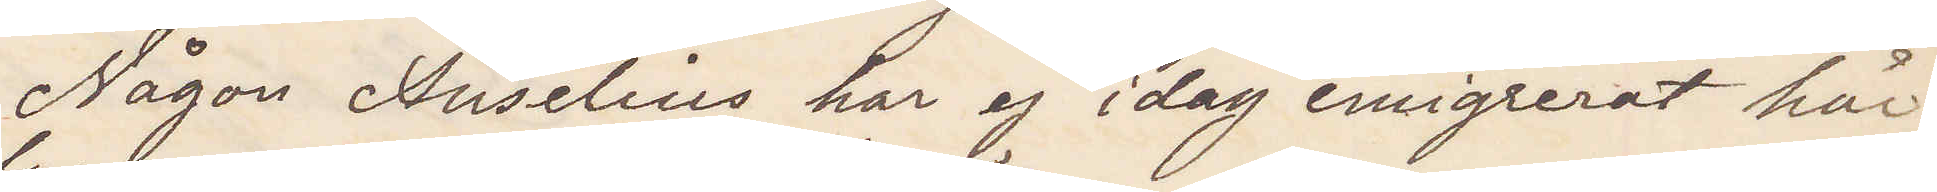Någon Anselius har ej idag emigrerat här¬
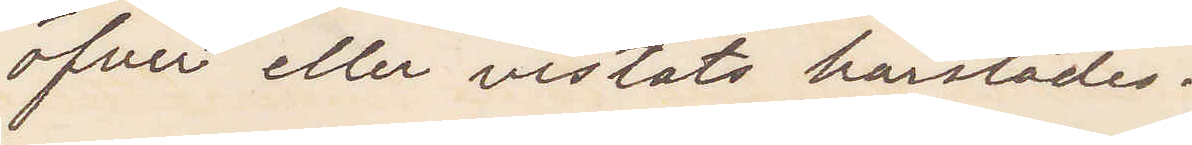öfver eller vistats härstädes.
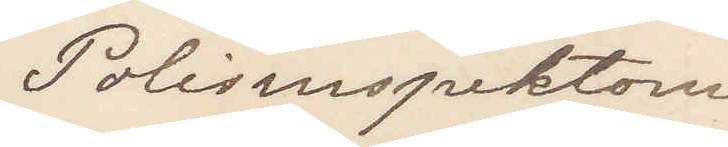Polisinspektorn
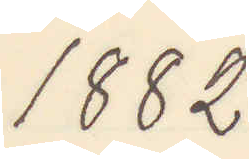1882
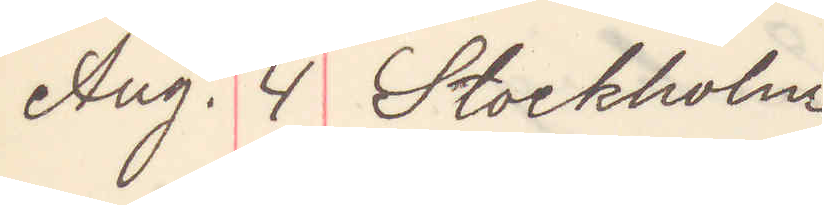Aug. 4 Stockholm
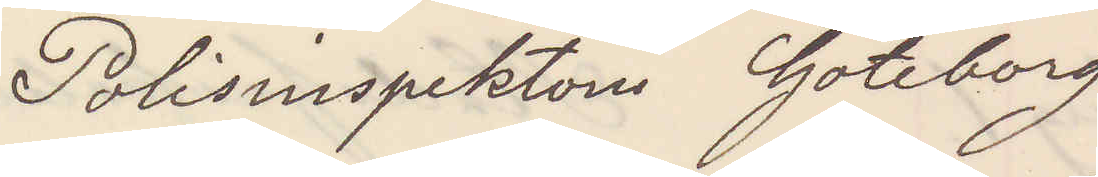Polisinspektorn Göteborg
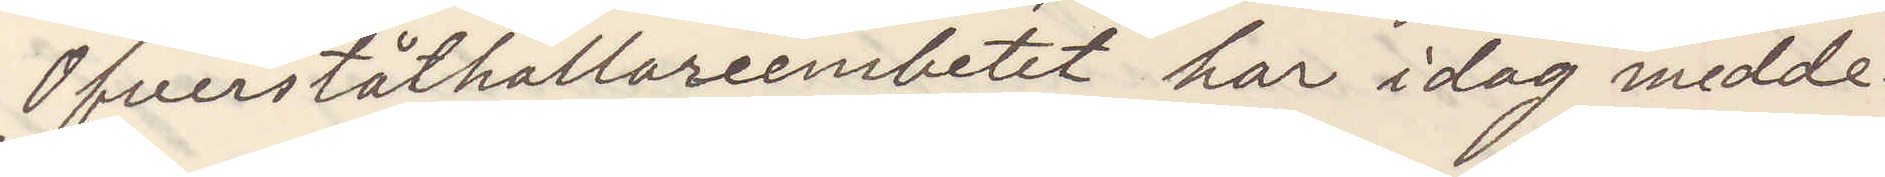Öfverståthållarembetet har idag meddel¬
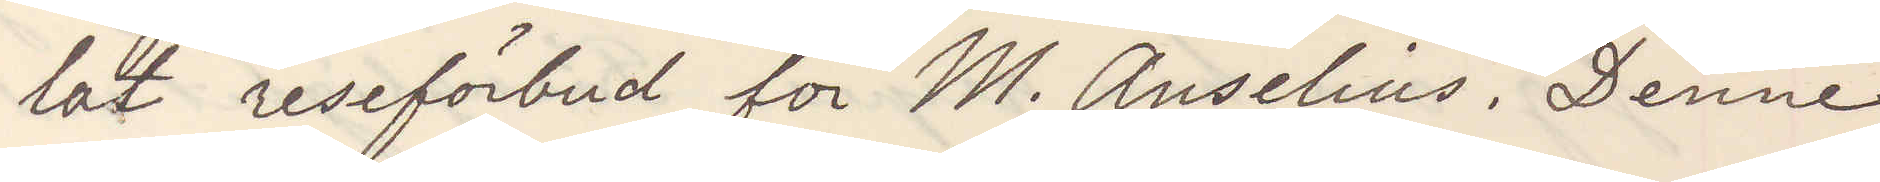lat reseförbud för M. Anselius. Denne
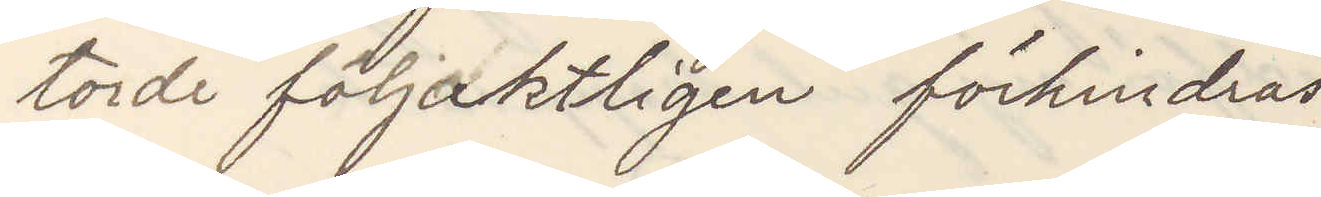torde följdaktligen förhindras
